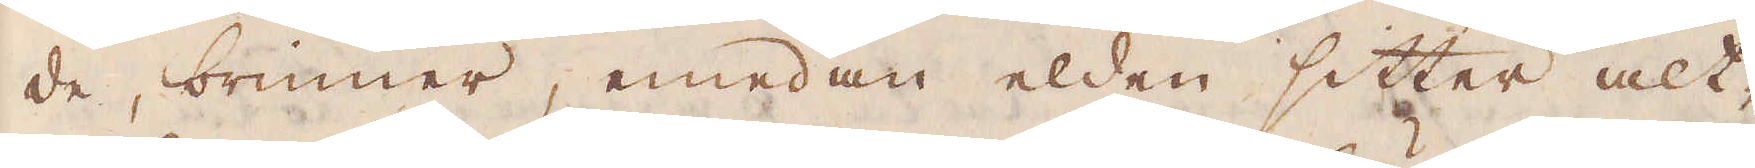de, brinner, medan elden sitter alt-
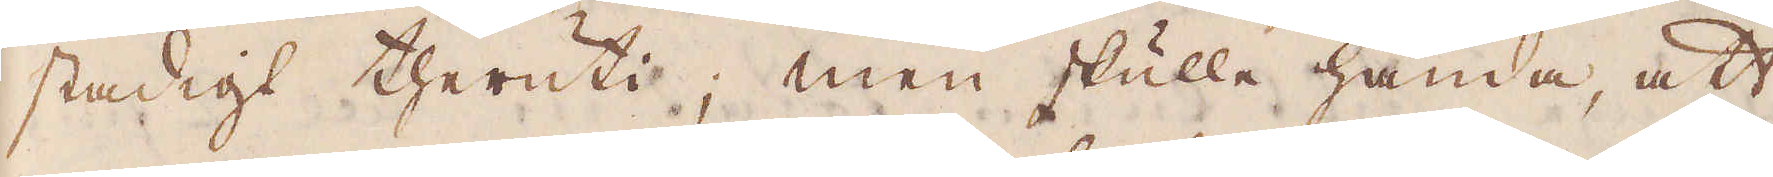stadigt theruti; men skulla hända att
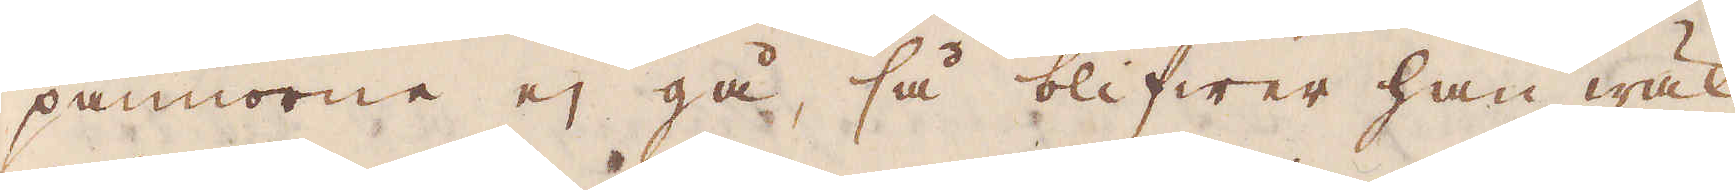pannorne ej gå, så blifwer han wäl
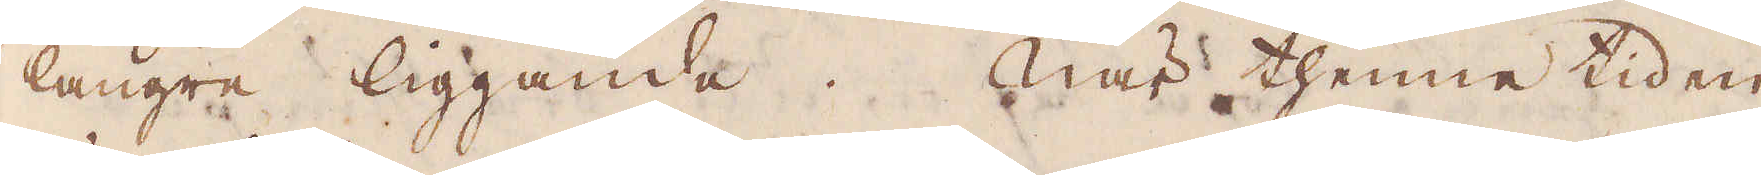längre liggande. När thenne tiden
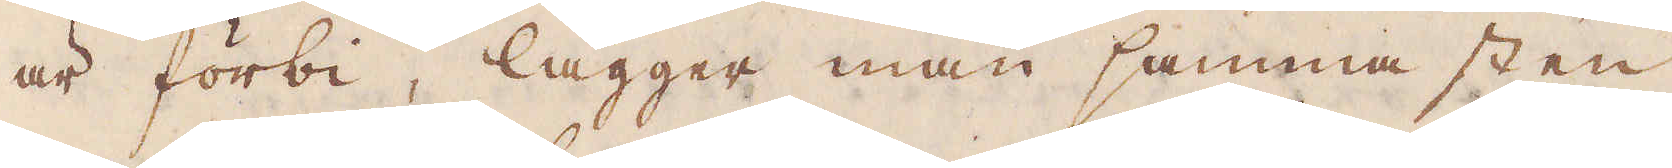är förbi, lägger man samma sten
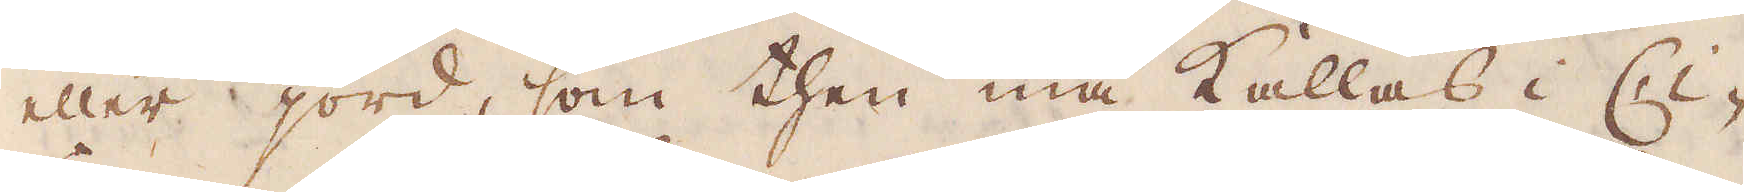eller jord, som then må kallas i Ci-
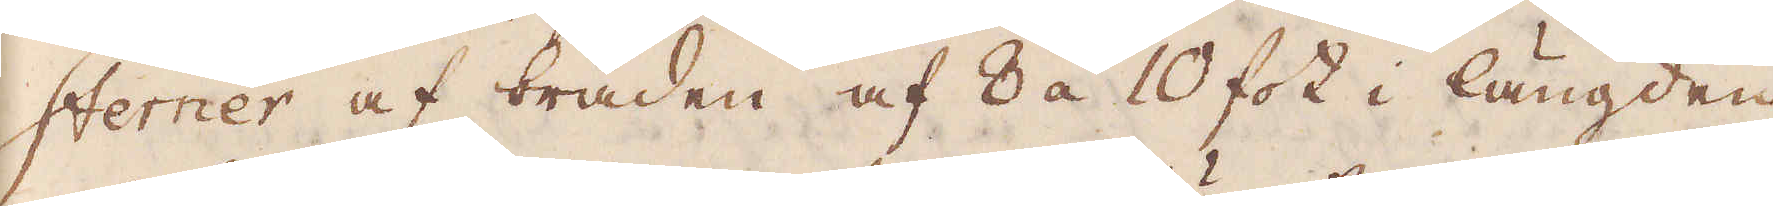sterner af bräden af 8 à 10 fot i längden
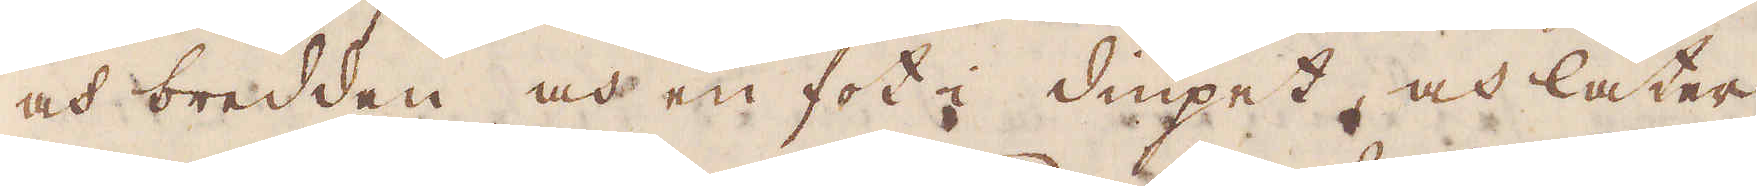och bredden och en fot i diupet, och låter
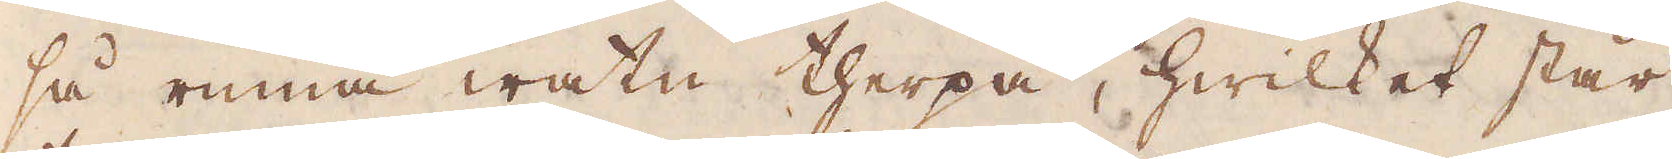så rinna watn therpå, hwilket står
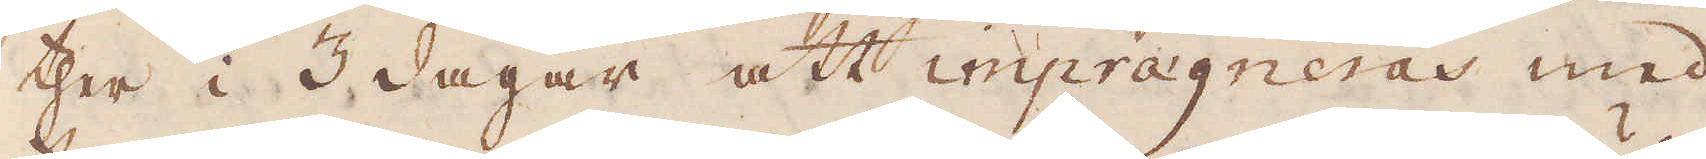ther i 3 dagar att impragneras med
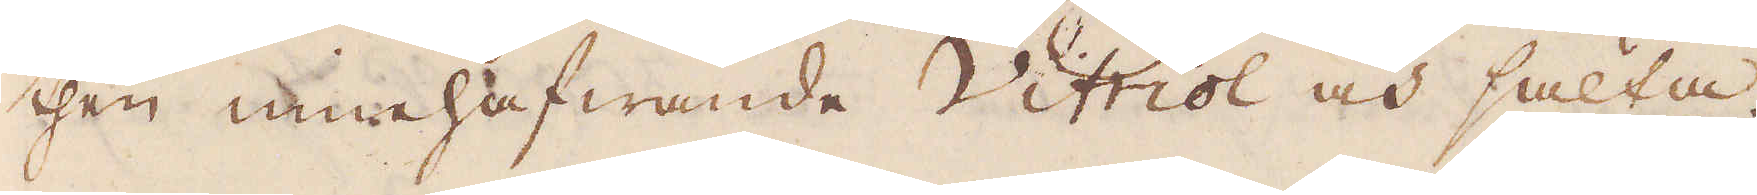then innehafwande Vitriol och sälta
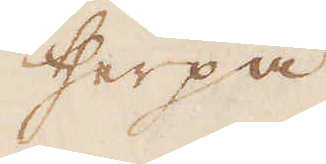therpå
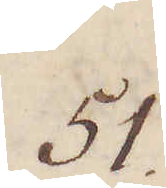51.
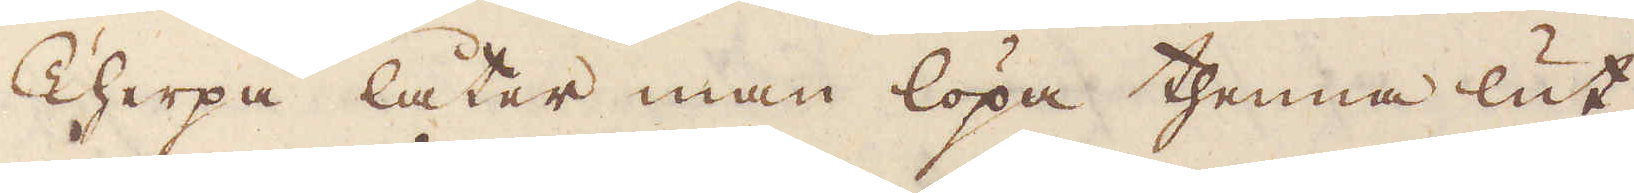Therpå låter man löpa thenna lut
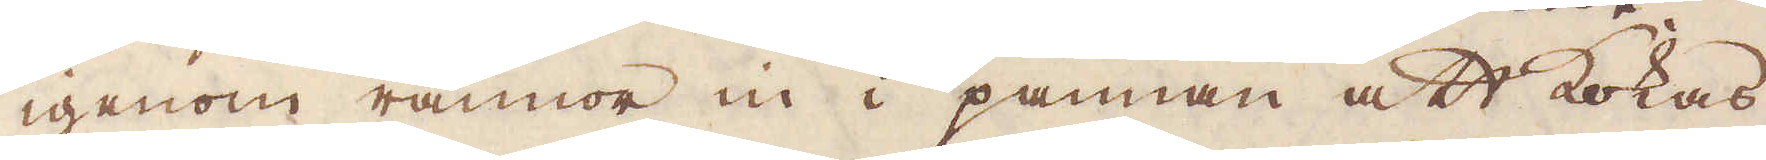igenom rännor in i pannan att kokas
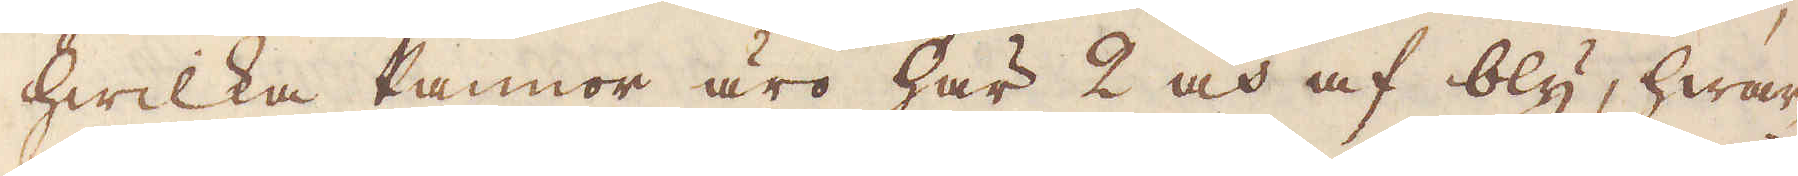hwilka Pannor äro här 2 och af bly, hwar-
